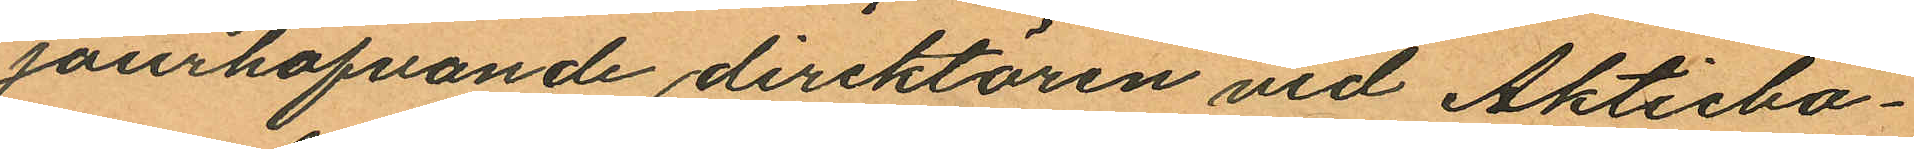jourhafvande direktören vid Aktiebo¬
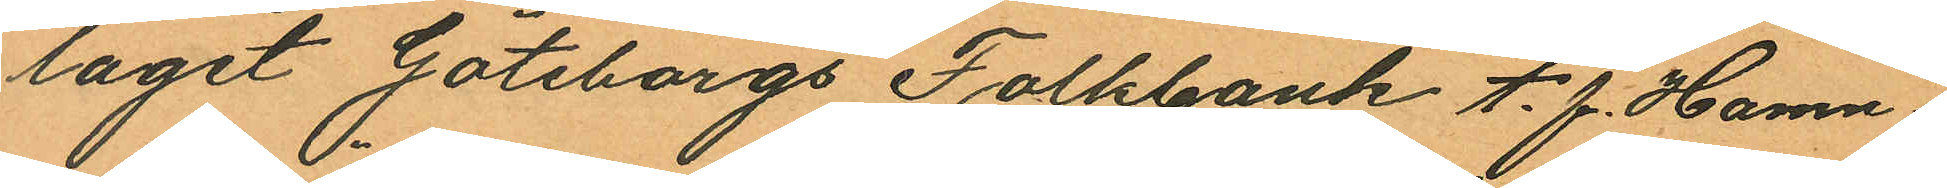laget Göteborgs Folkbank t. f. Hamn
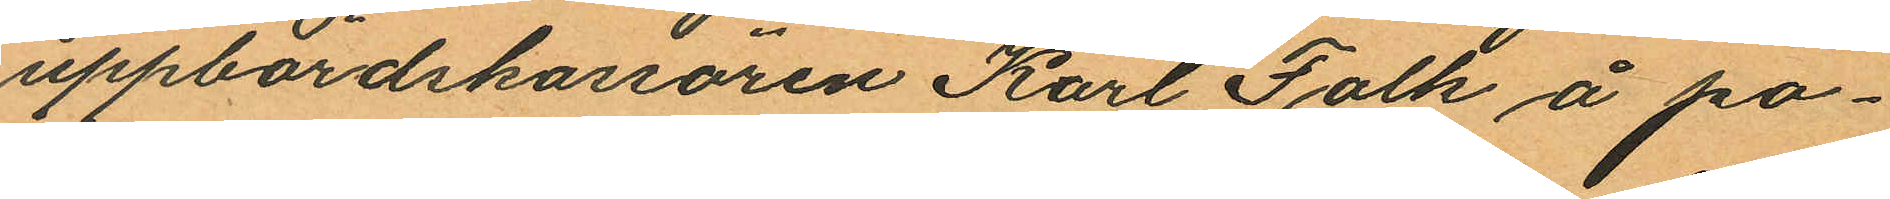uppbördskassören Karl Falk å po¬
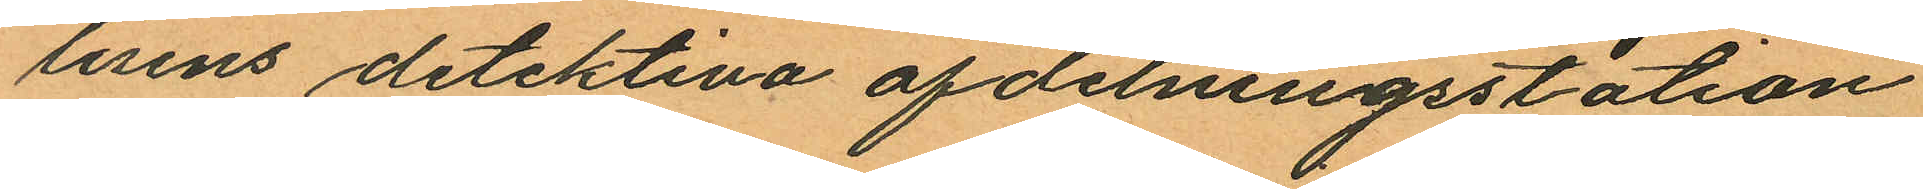lisens detektiva afdelningsstation
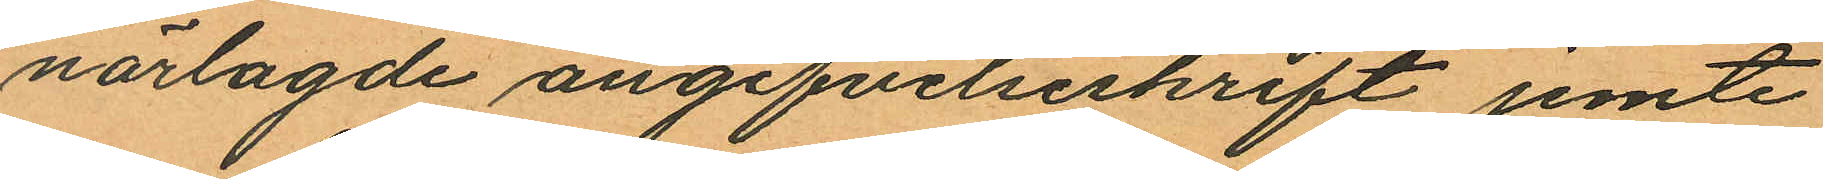närlagde angifvelseskrift jemte
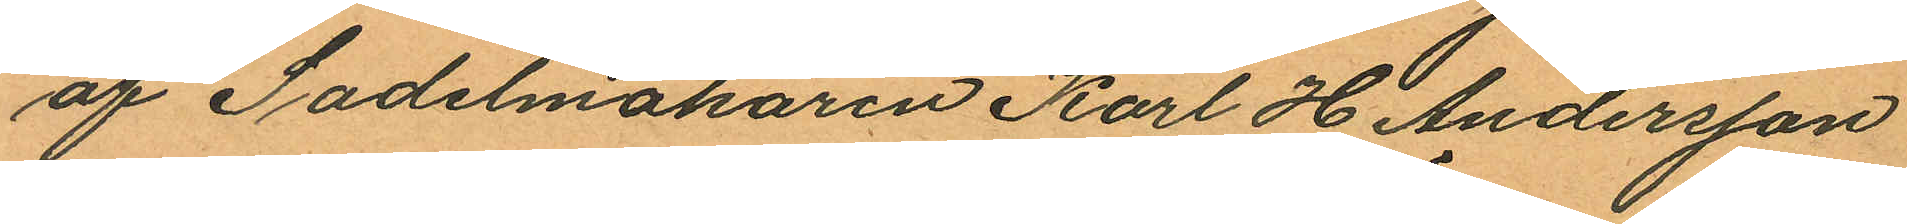af Sadelmakaren Karl H. Andersson
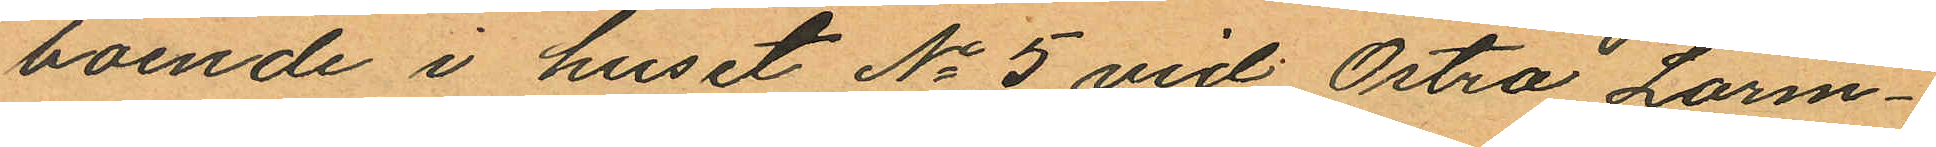boende i huset No 5 vid Östra Larm¬
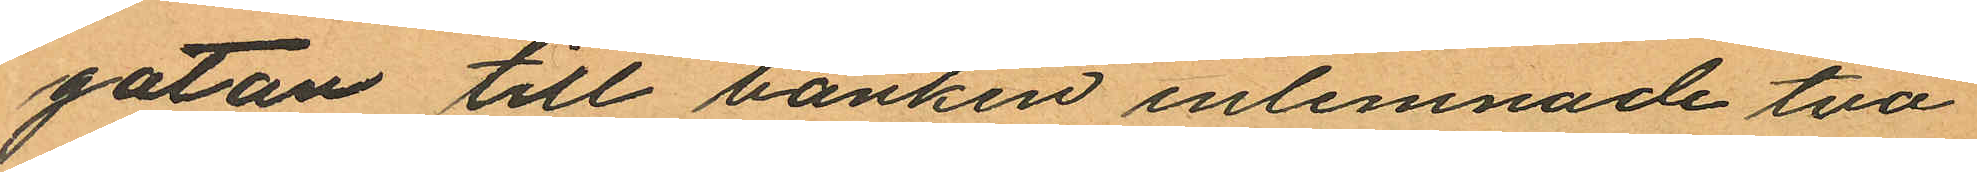gatan till banken inlemnade två
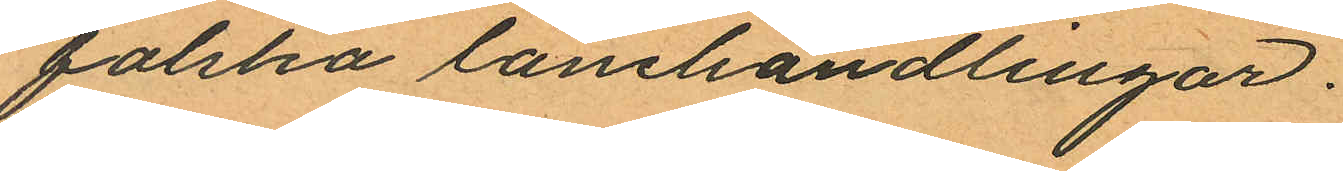falska lånehandlingar.
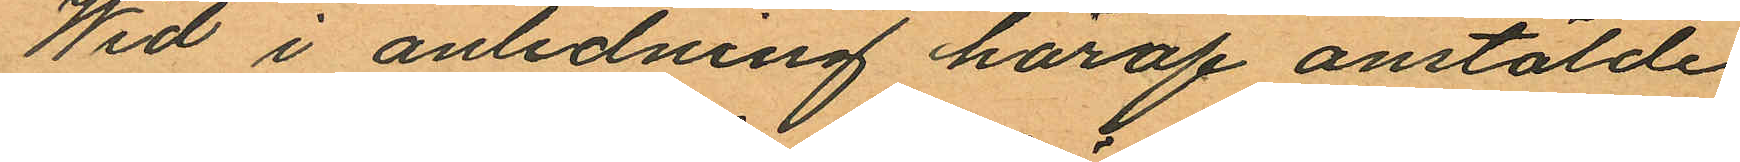Wid i anledning häraf anstälde
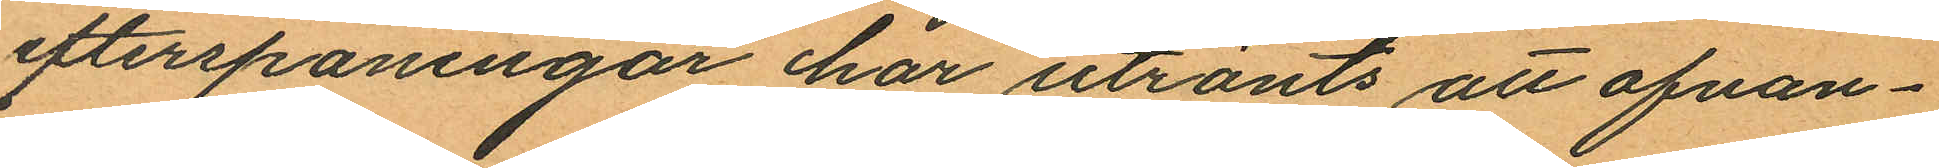efterspaningar har utrönts att ofvan¬
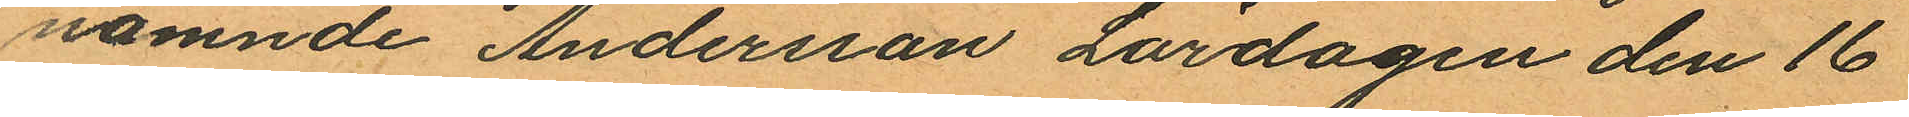namnde Andersson Lördagen den 16
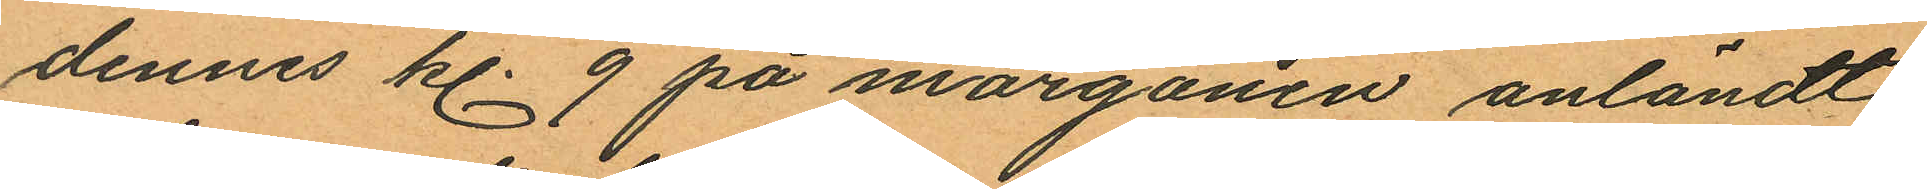dennes kl. 9 på morgonen anländt
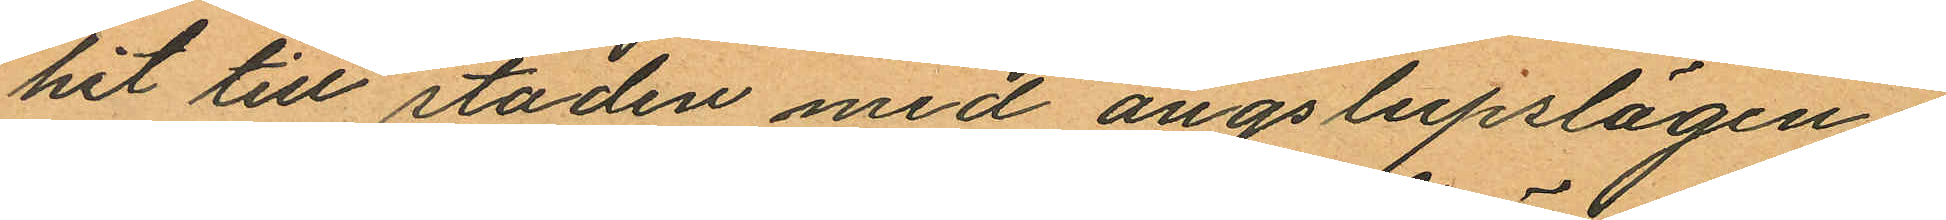hit till staden med ångslupslägen¬
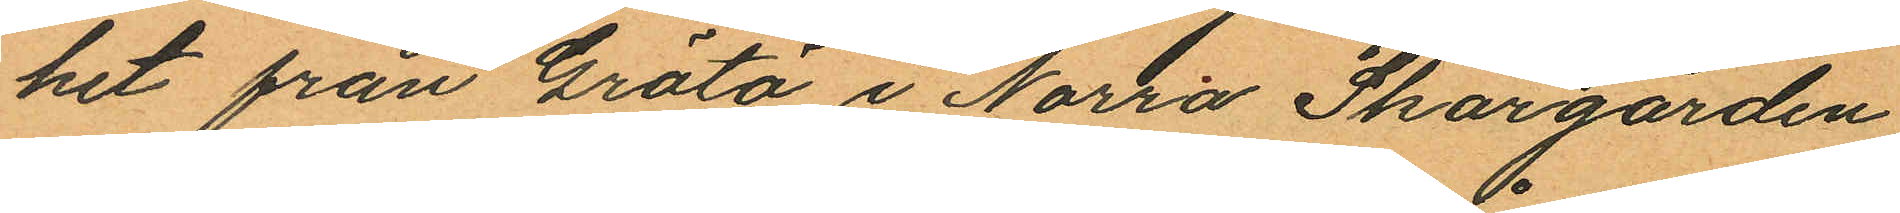het från Grötö i Norra Skärgården
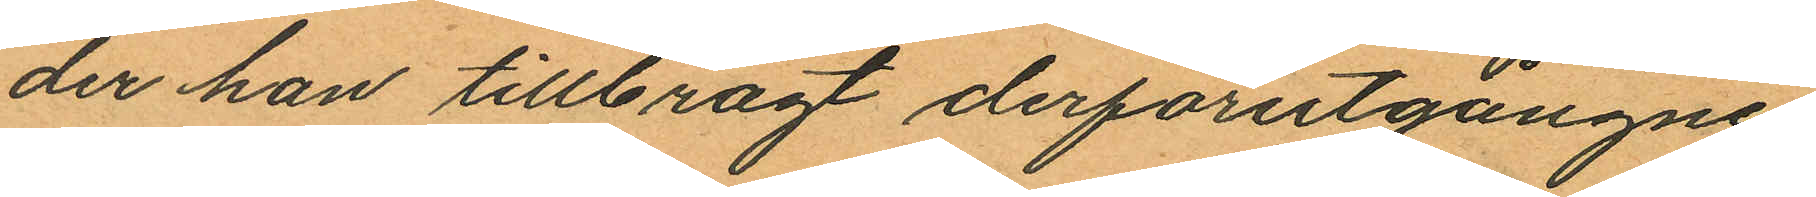der han tillbragt derförutgångne
